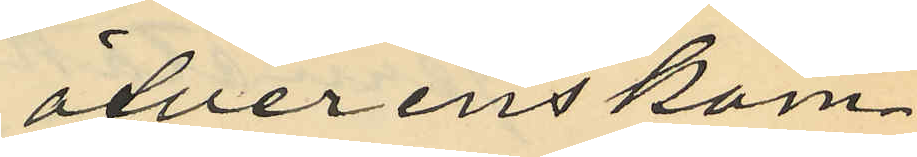öfverenskom¬
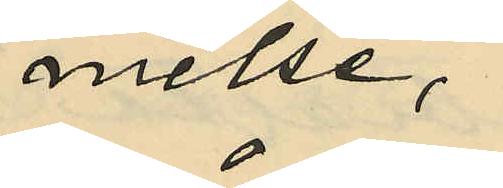melse,
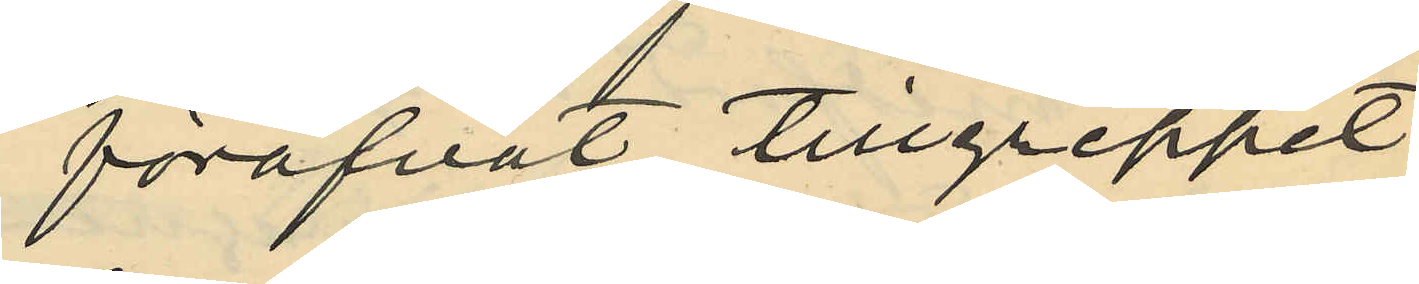föröfvat tillgreppet
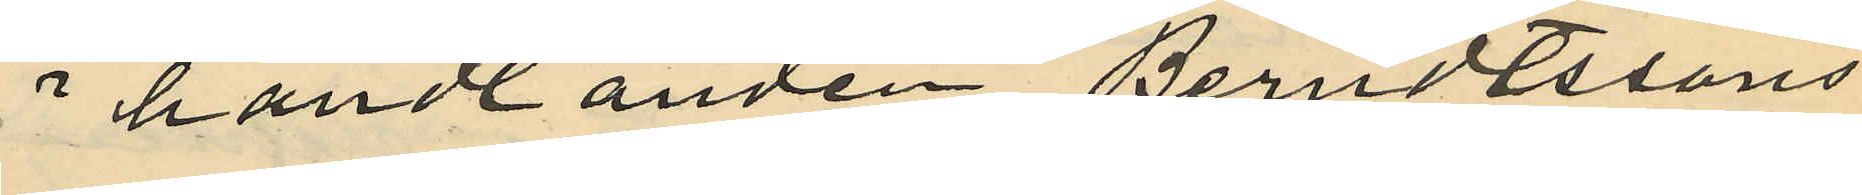i handlanden Berndtssons
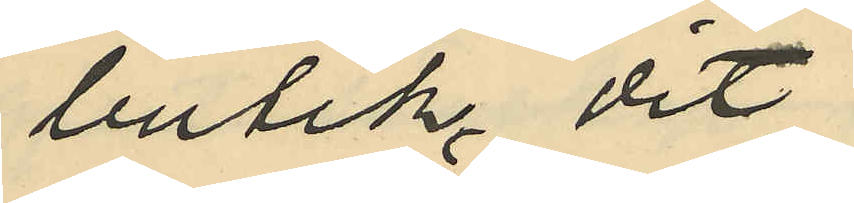butik, dit
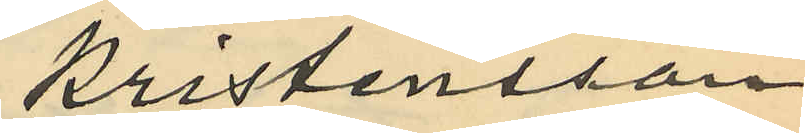Kristensson
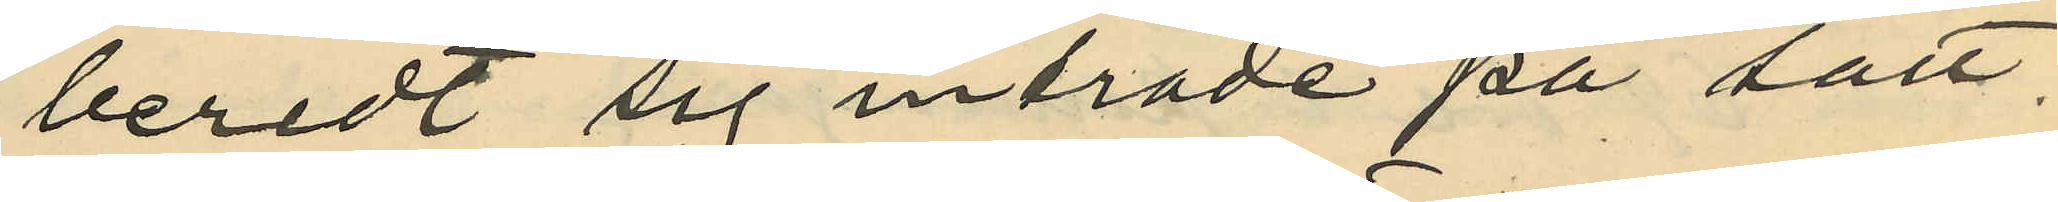beredt sig inträde på sätt
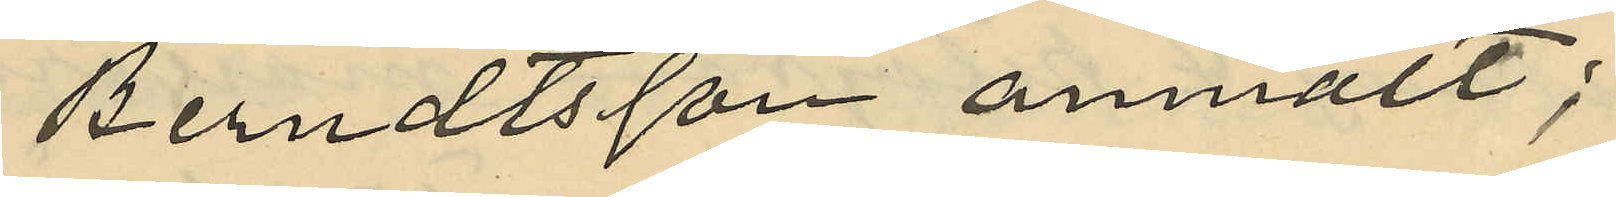Berndtsson anmält;
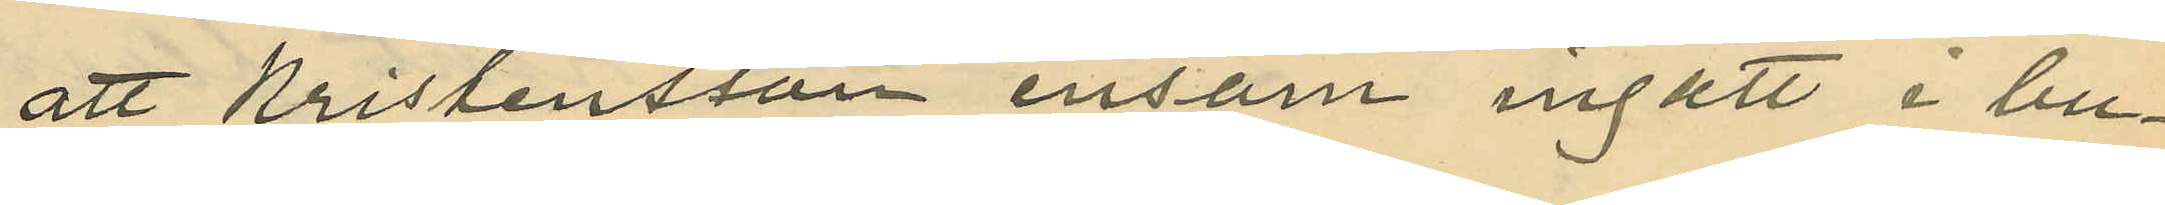att Kristensson ensam ingått i bu¬
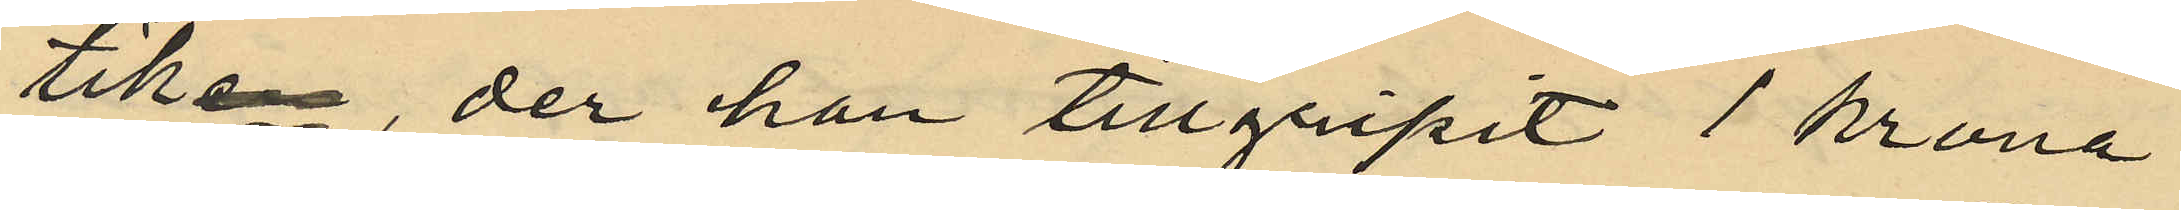tiken, der han tillgripit 1 krona
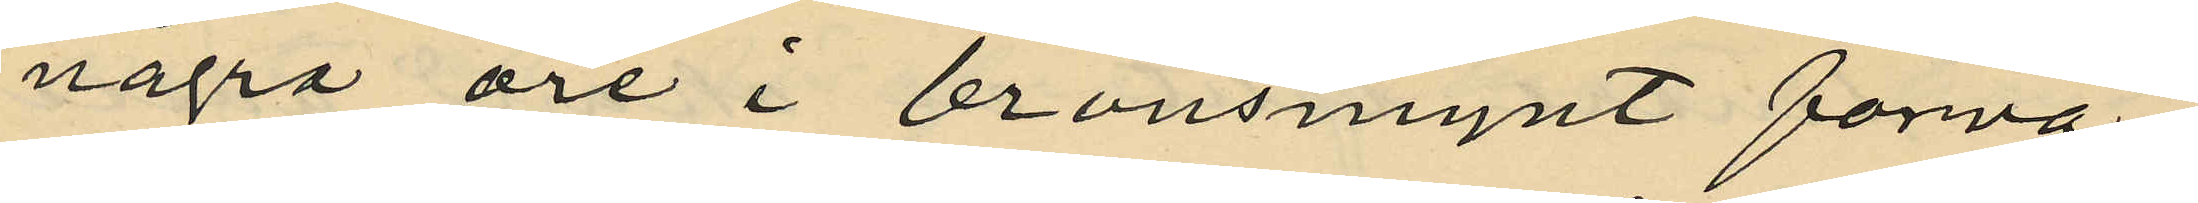några öre i bronsmynt förva¬
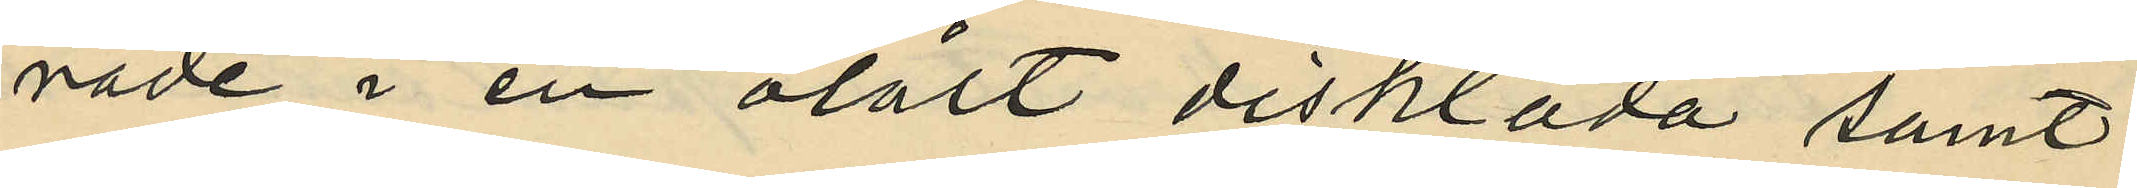rade i en olåst disklåda samt
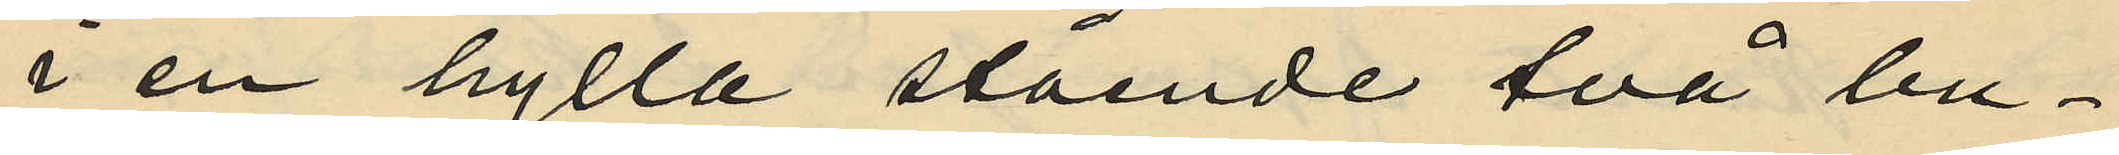i en hylla stående två bu¬
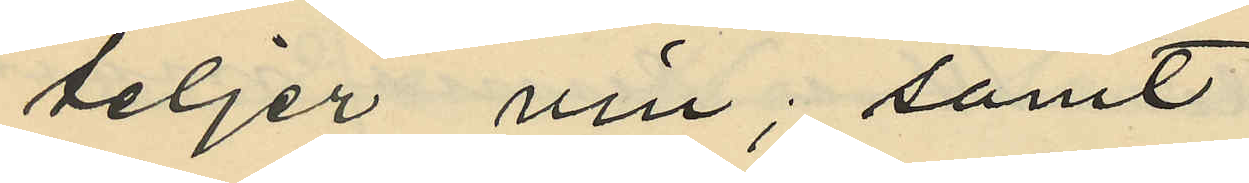teljer vin; samt
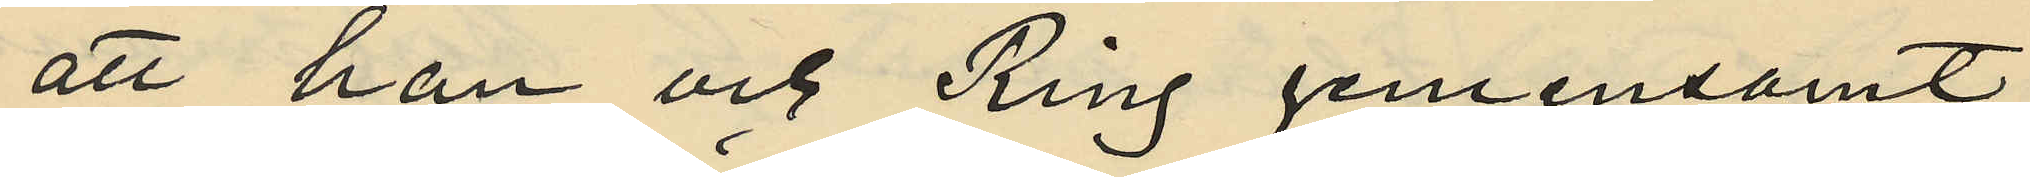att han och Ring gemensamt
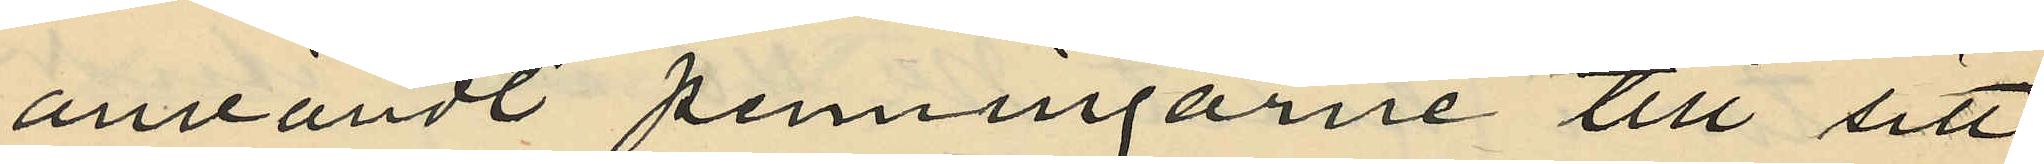användt penningarne till sitt
